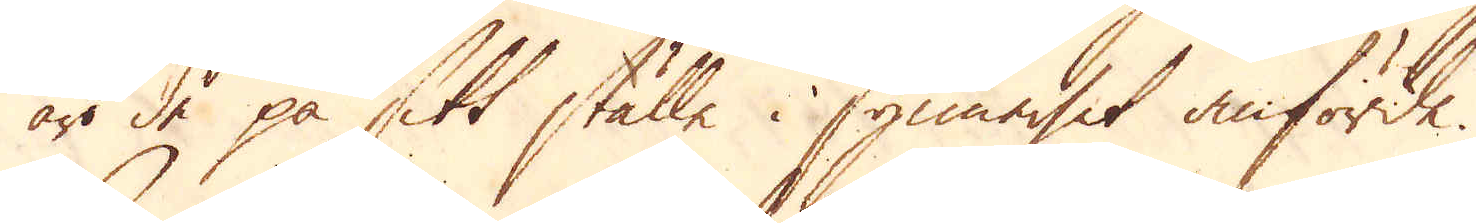äro de på sitt ställe i synnerhet anförde.
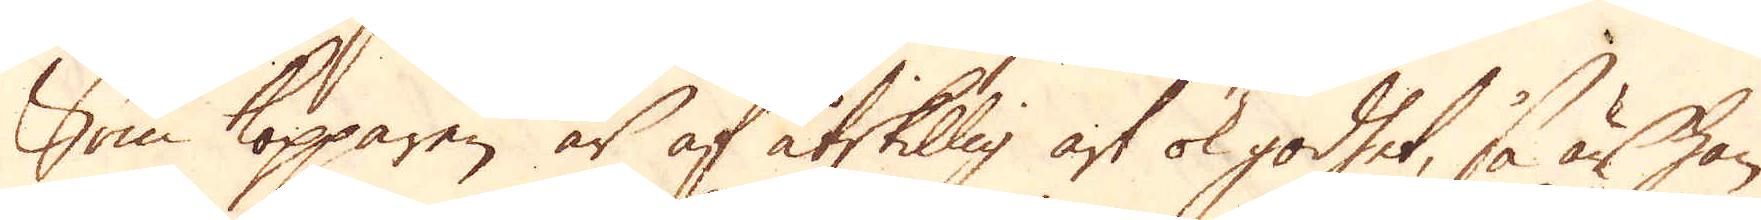Som kopparen är af åtskillig art ok godhet, så är han
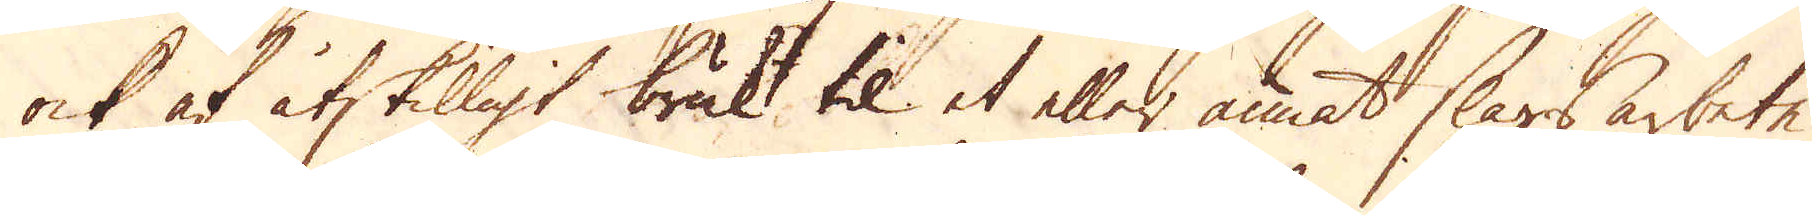ock af åtskilligt brukt til et eller annat slags arbete
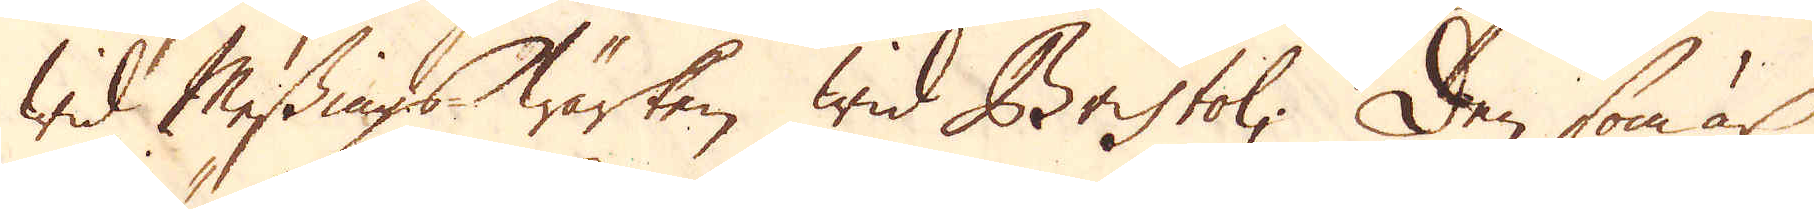wid Messings-Wärken wid Bristol; Den som är
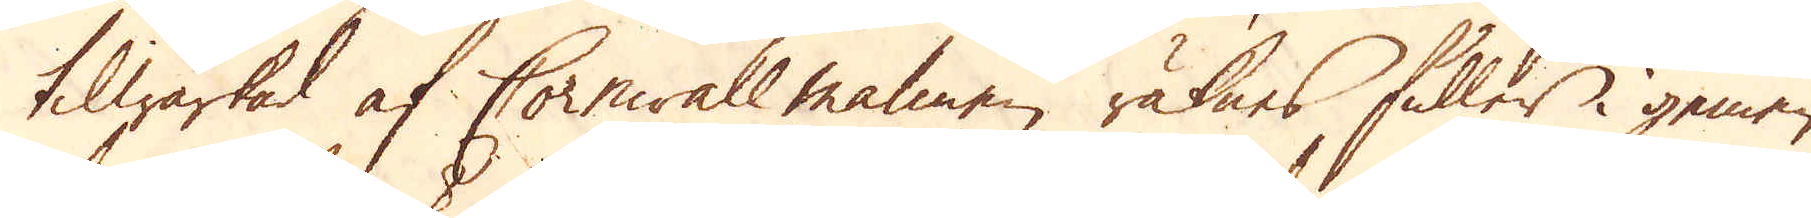tilwärkad af Cornwall malmen räknes fuller i gemen
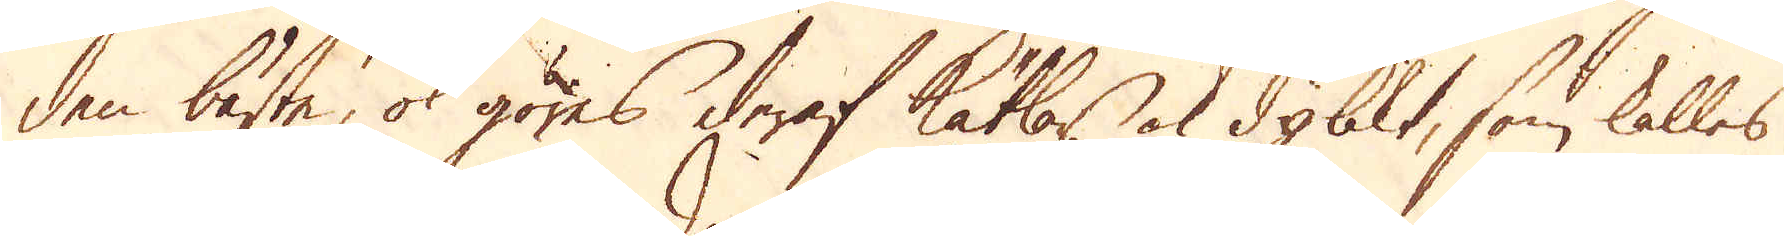den bäste, ok göres deraf Kätlar ok dylikt, som kallas
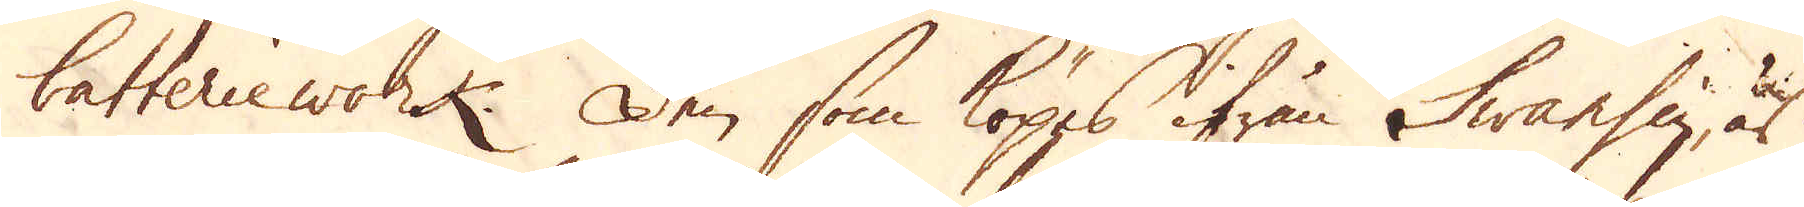batteriework. Den som köpes ifrån Swansey, är
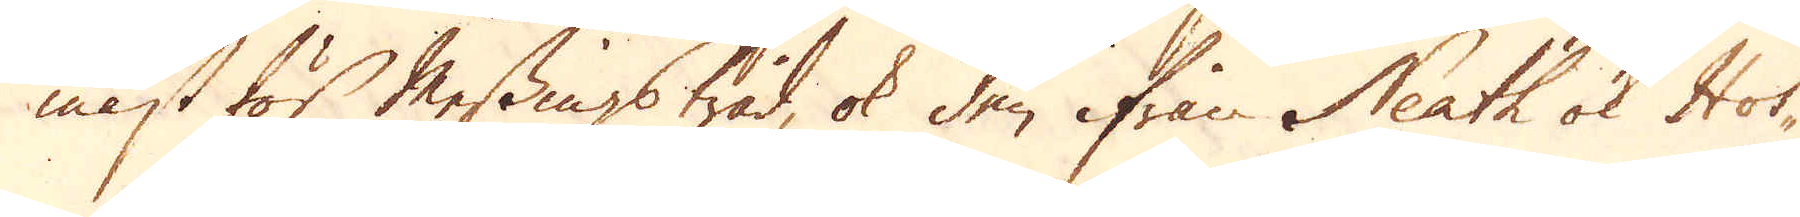mäst för Messingstråd, ok den ifrån Neath ok Hot-
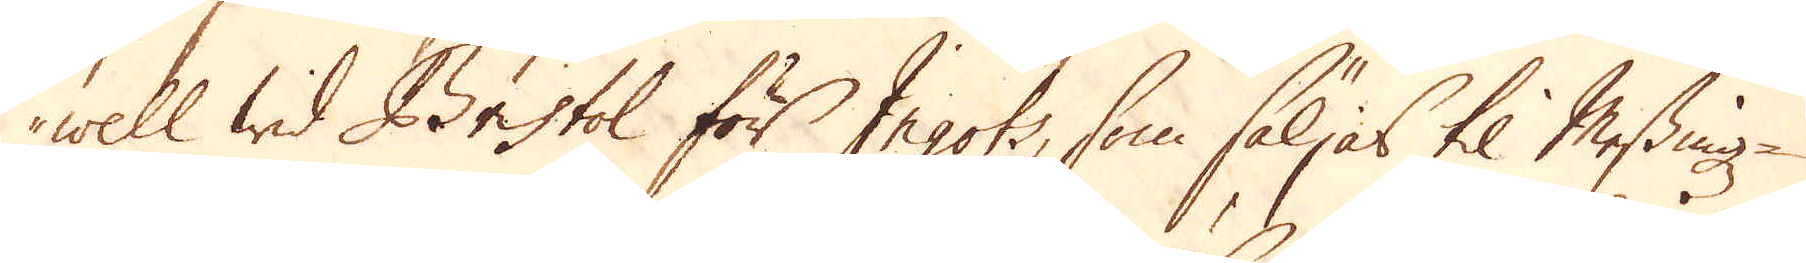well wid Bristol för Ingots, som säljas til Messings-
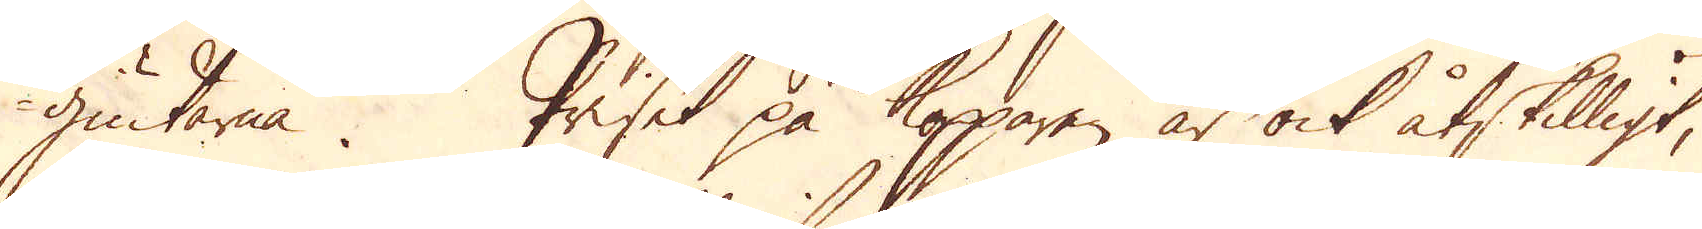giutarna. Priset på kopparen är ock åtskilligt,
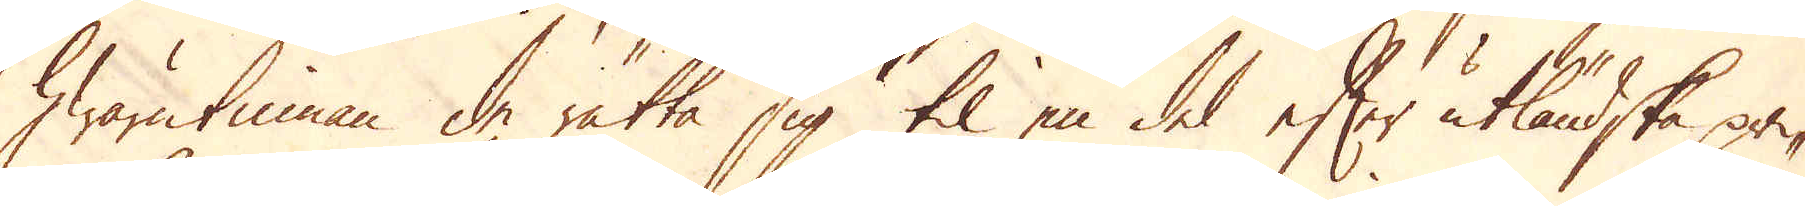hwarutinnan de rätta sig til en del efter utländska pri-
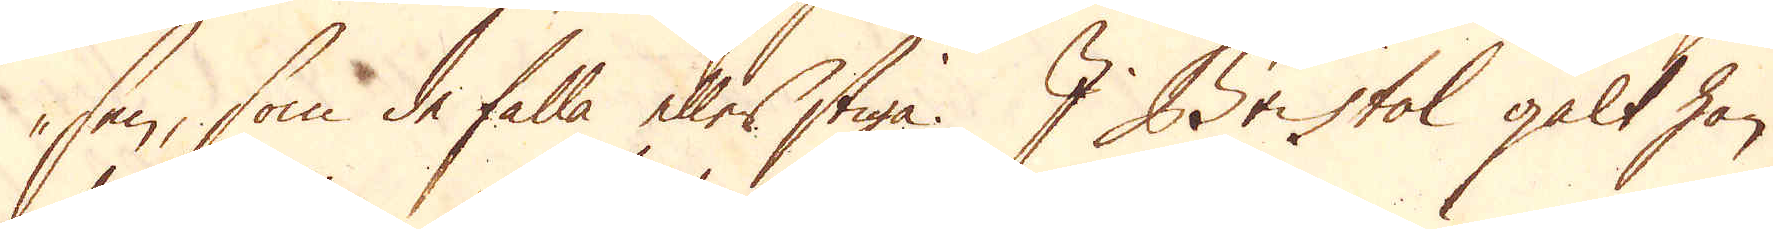sen, som de falla eller stiga. I Bristol galt han
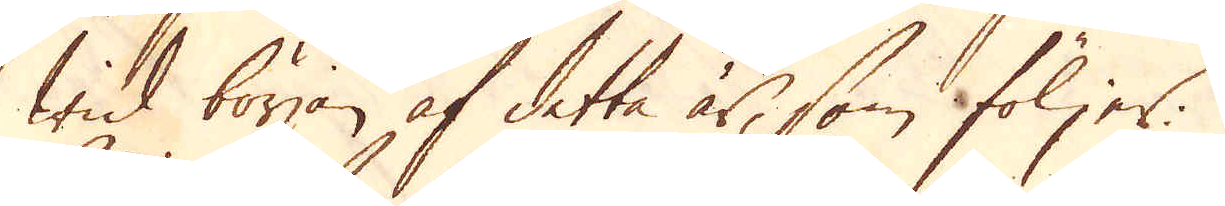wid början af detta år, som följer:
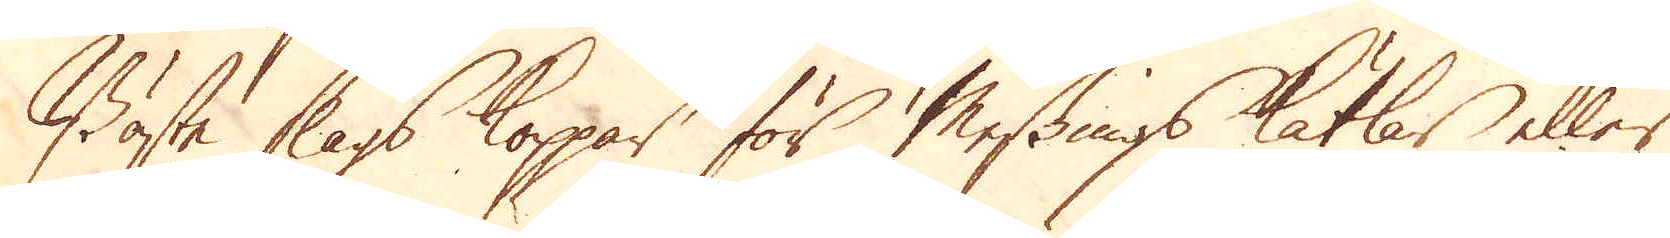Bäste slags koppar för Messings Kätlar eller
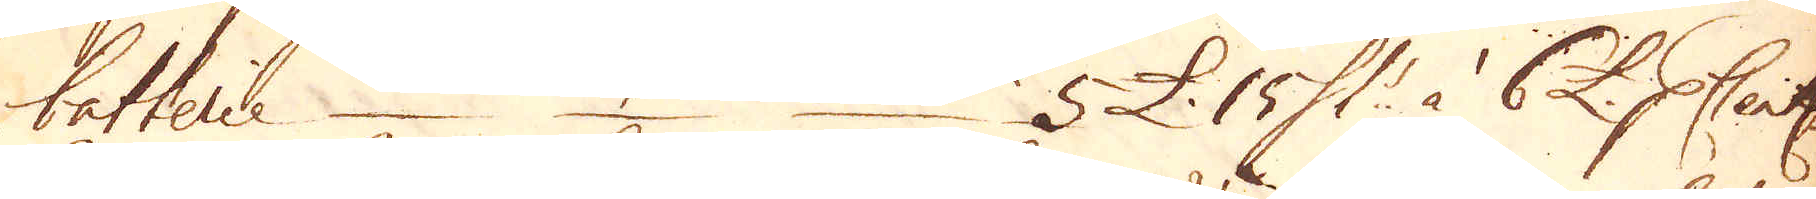batterie – – – 5 £. 15 Sk:r à 6 £. p Cent:
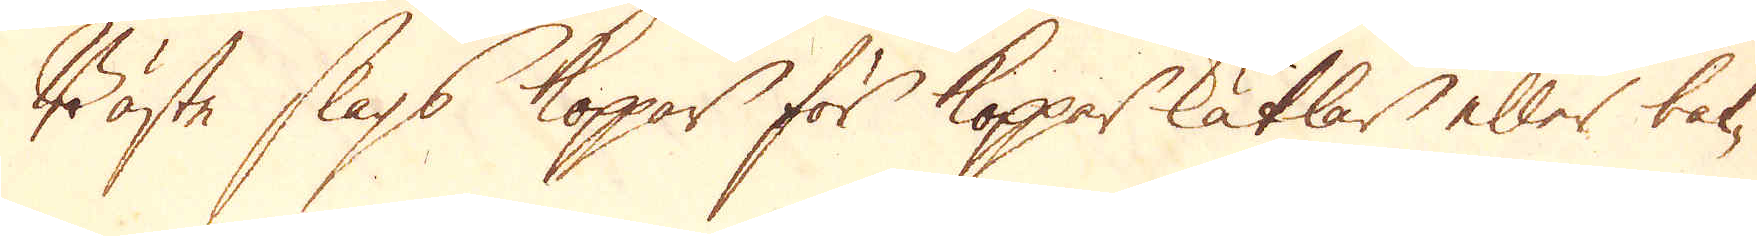Bäste slags Koppar för Koppar kätlar eller bak-
